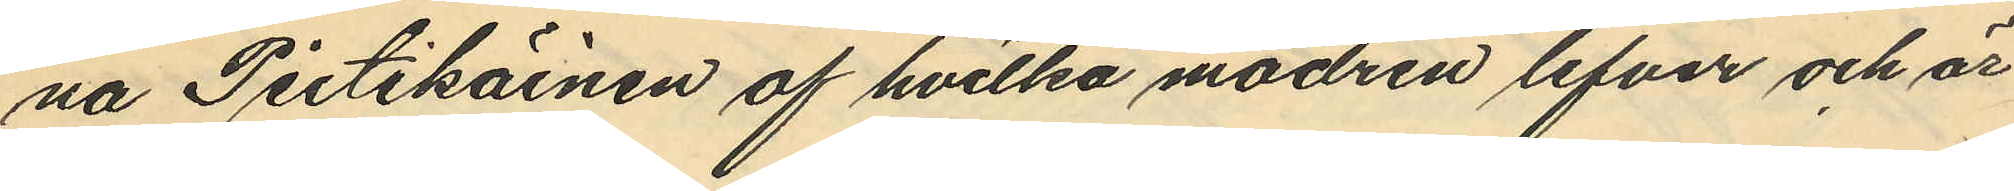na Pietikainen af hvilka modren lefver och är
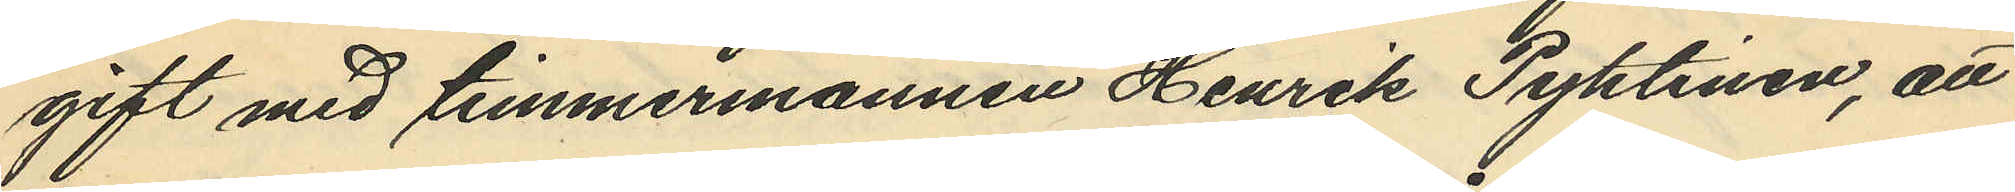gift med timmermannen Henrik Pyhtinen, att
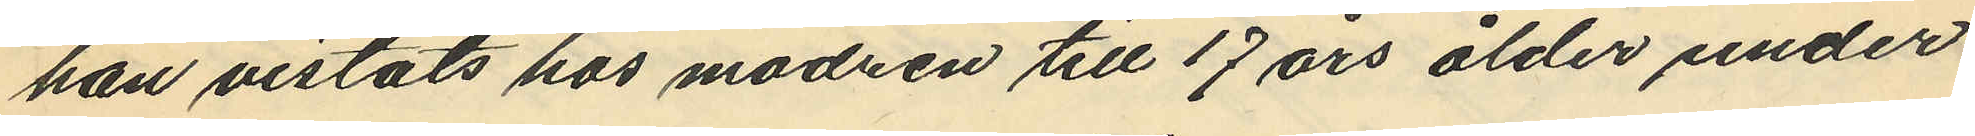han vistats hos modren till 17 års ålder under
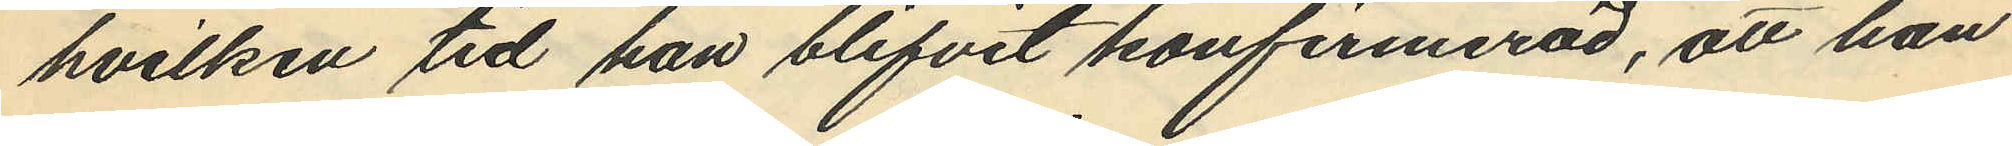hvilken tid han blifvit konfirmerad, att han
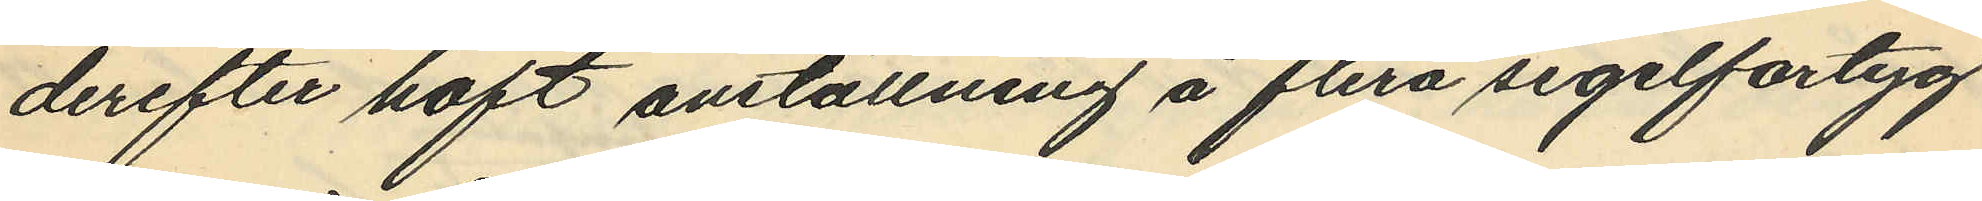derefter haft anställning å flera segelfartyg
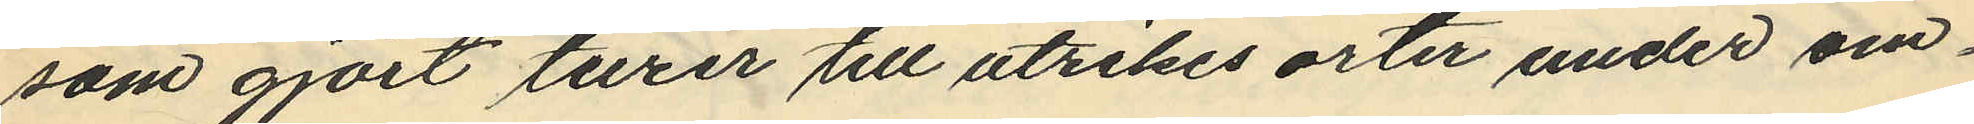som gjort turer till utrikes orter under om¬
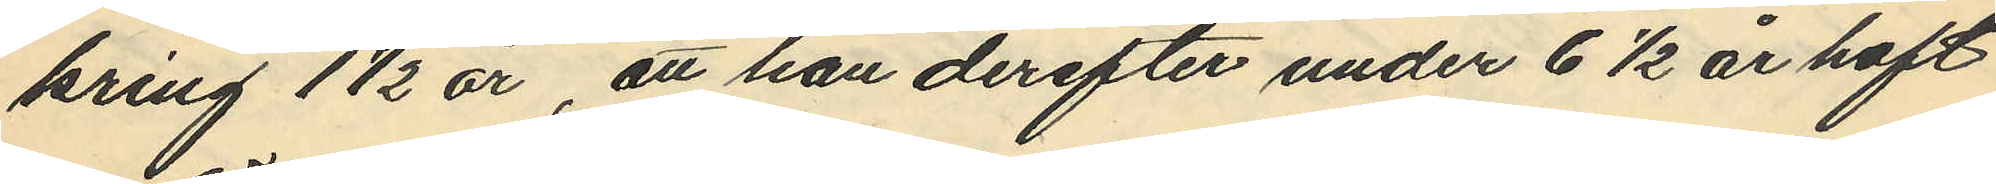kring 1½ år, att han derefter under 6½ år haft
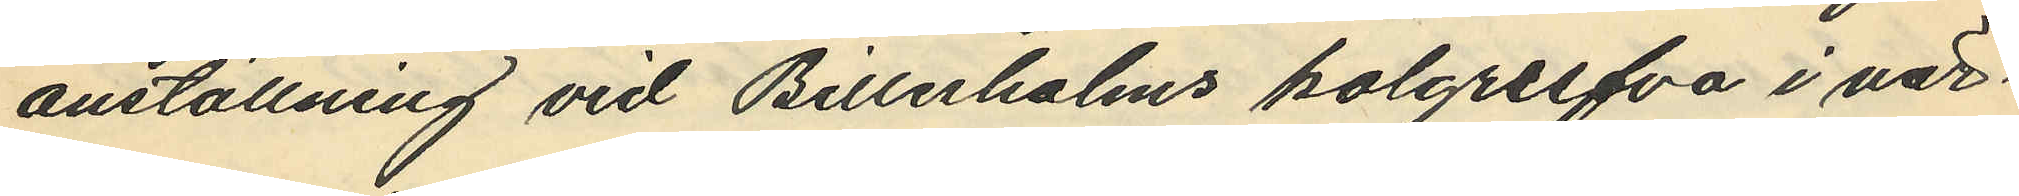anställning vid Billesholms kolgrufva i när¬
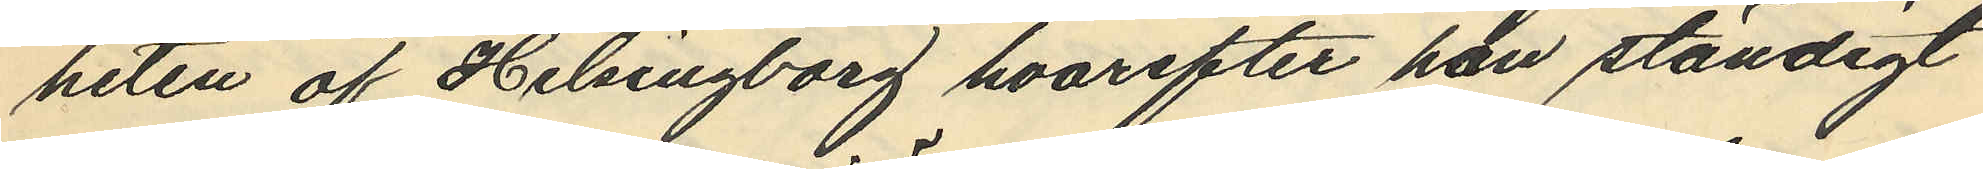heten af Helsingborg hvarefter han ständigt
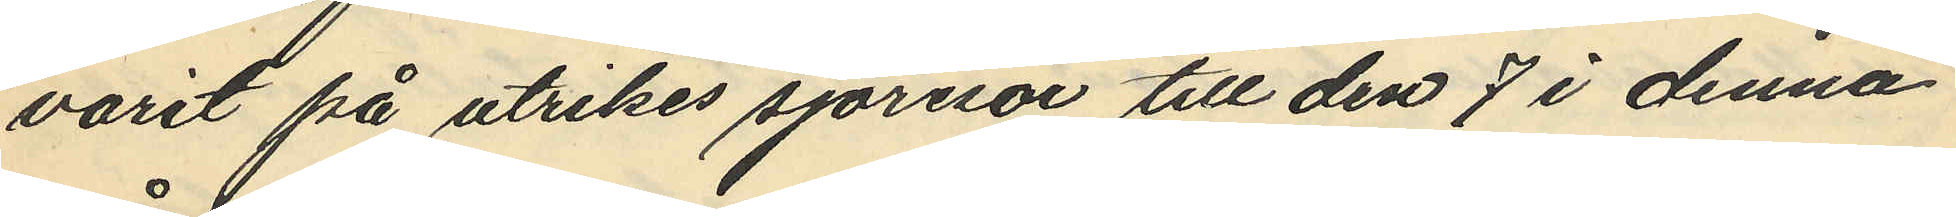varit på utrikes sjöresor till den 7 i denna
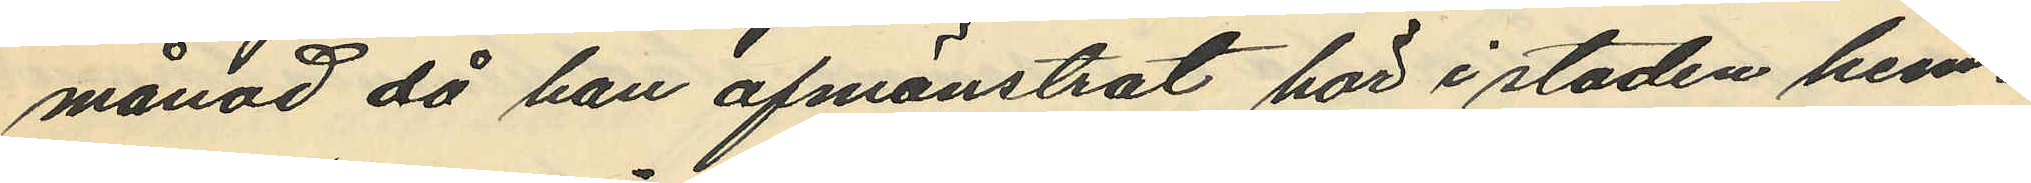månad då han afmönstrat här i staden hem¬
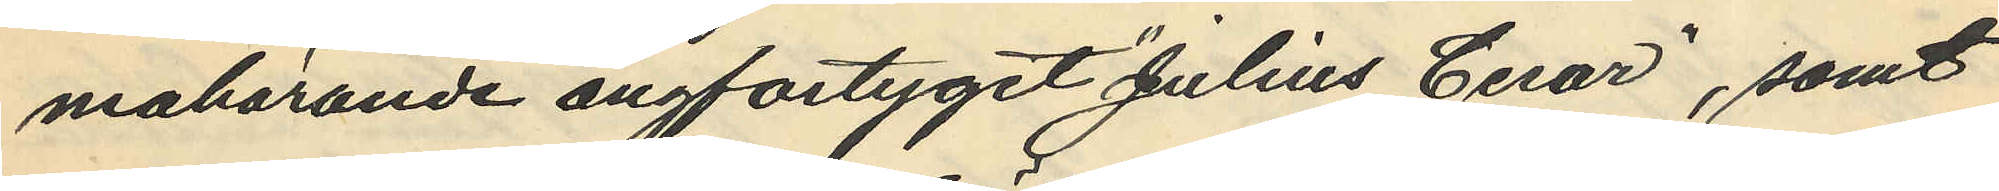mahörande ångfartyget "Julius Cesar", samt
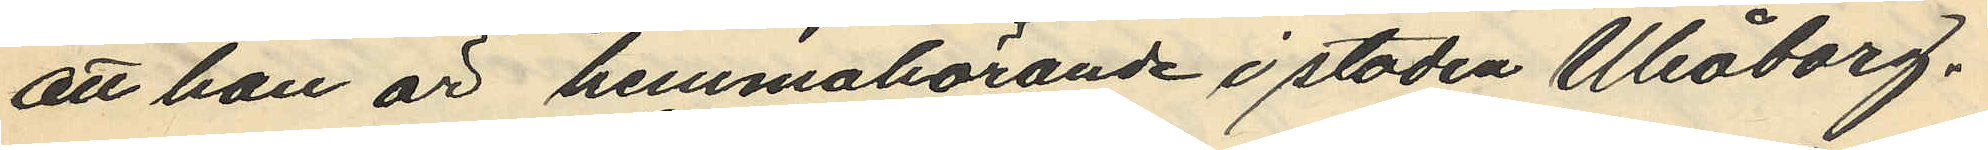att han är hemmahörande i staden Uleåborg.
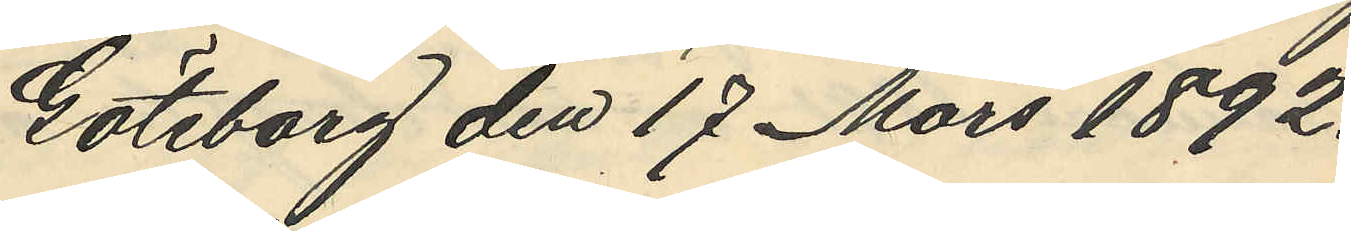Göteborg den 17 Mars 1892.
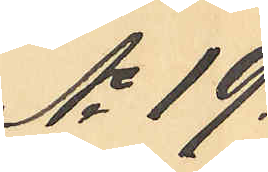No 19.
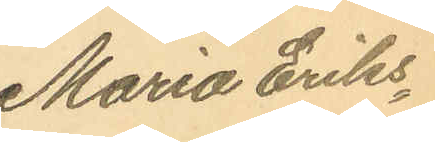Maria Eriks¬
